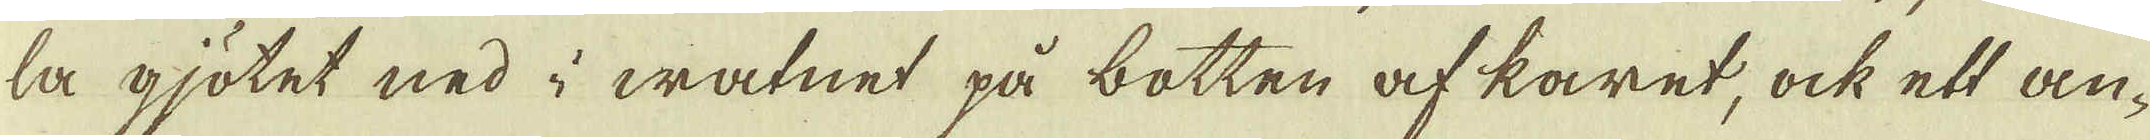la gjötet ned i watnet på botten af karet, ock ett an-
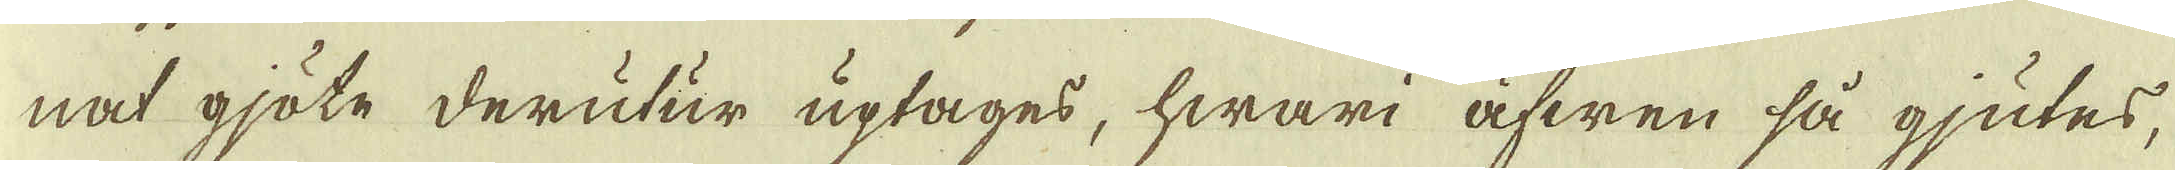nat gjöte derutur uptages, hwari äfwen så gjutes,
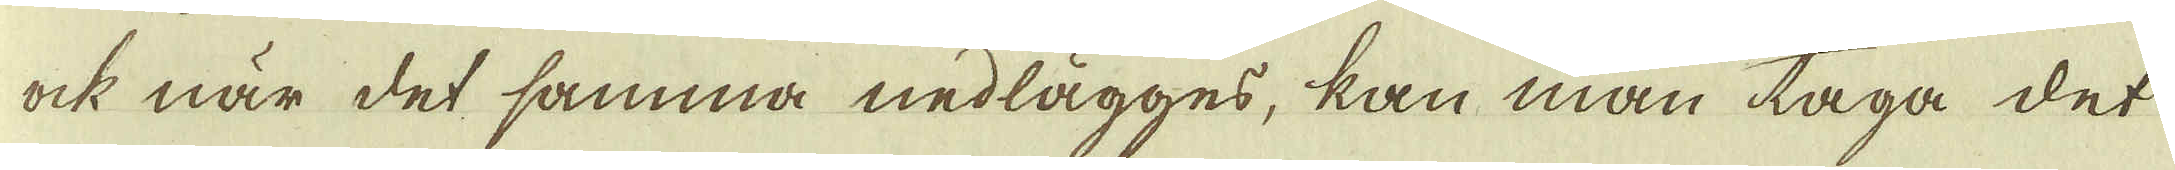ock när det samma nedlägges, kan man taga det
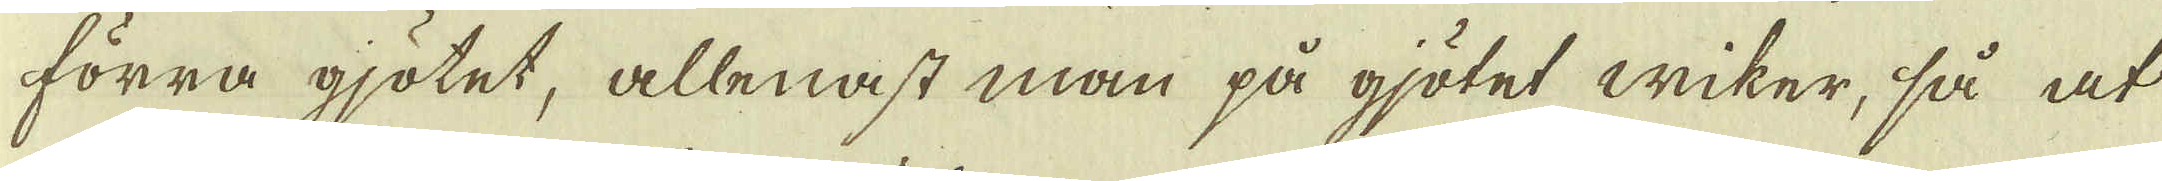förra gjötet, allenast man på gjötet wiker, så at
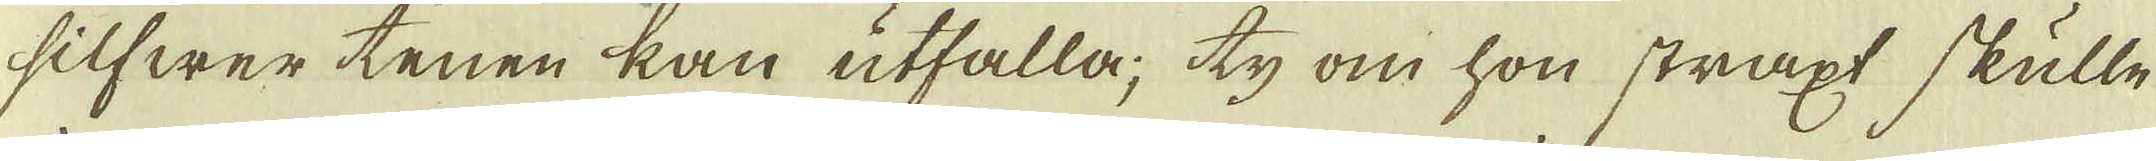silfwer tenen kan utfalla; ty om hon straxt skulle
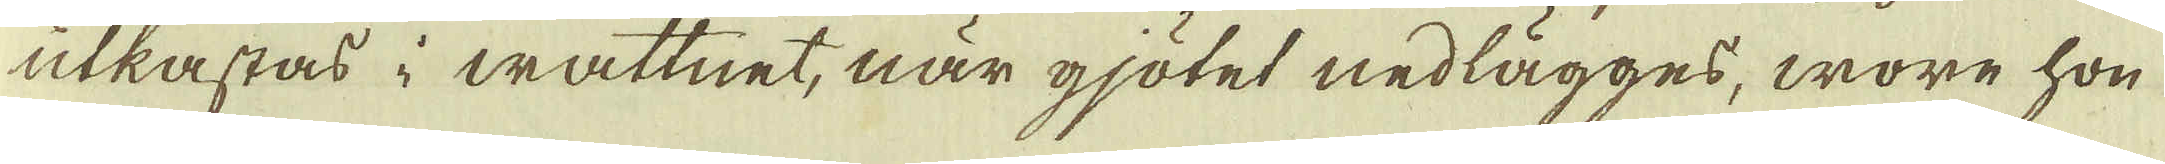utkastas i wattnet, när gjötet nedlägges, wore hon
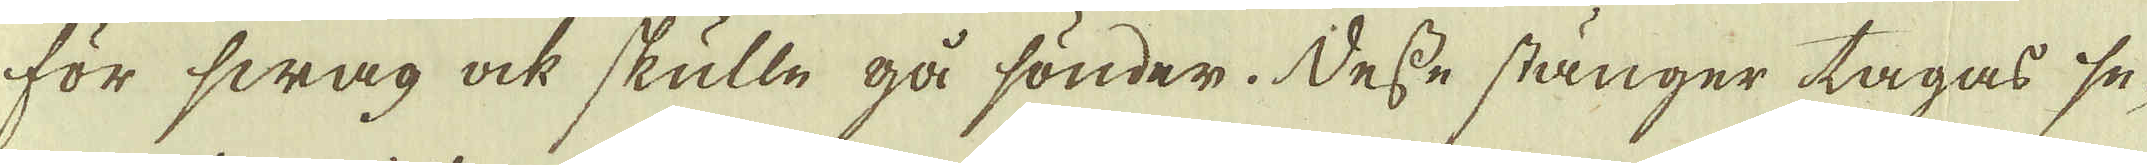för swag ock skulle gå sönder. Desse stänger tagas se-
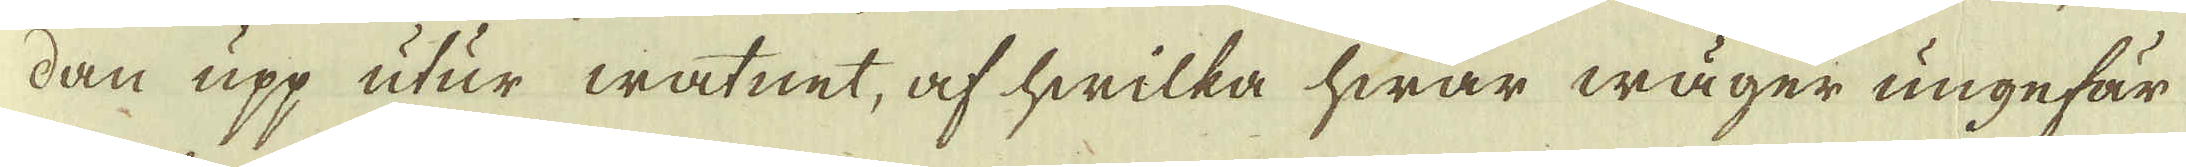dan upp utur watnet, af hwilka hwar wäger ungefär
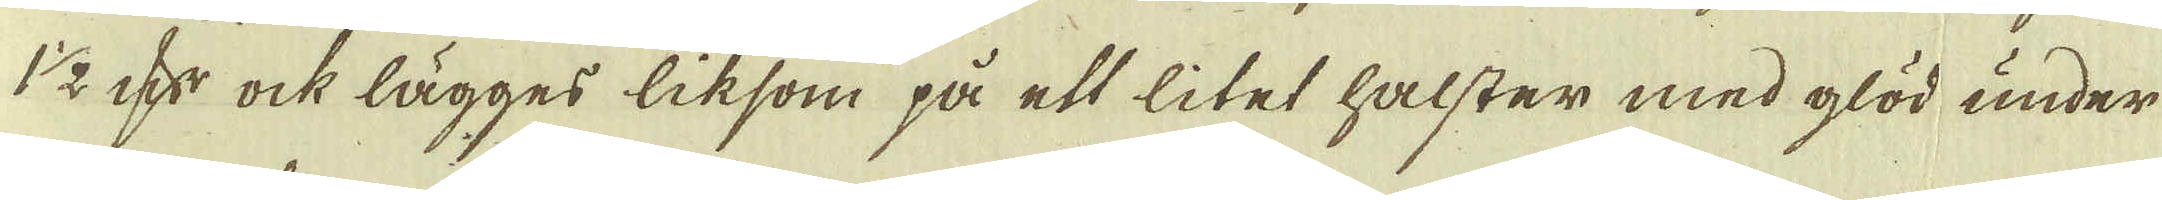1 1/2 qv:r ock lägges liksom på ett litet halster med glöd under
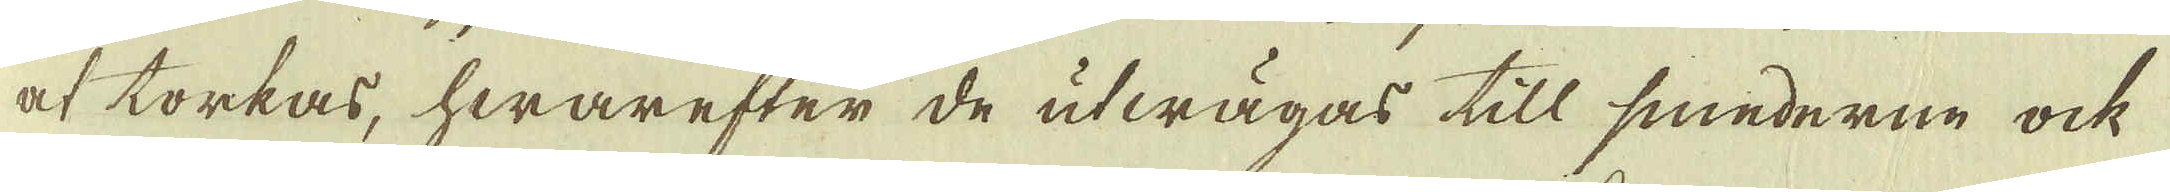at torkas, hwarefter de utwägas till smederne ock
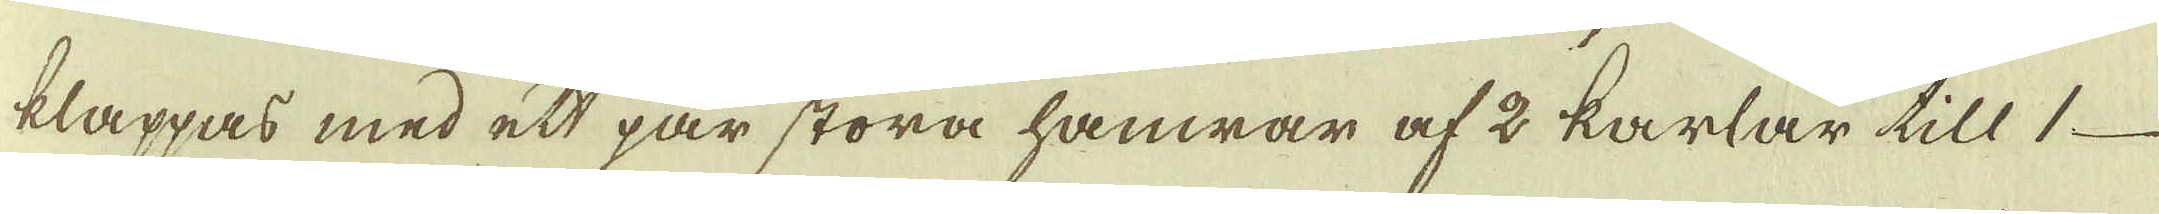klappas med ett par stora hamrar af 2 karlar till 1
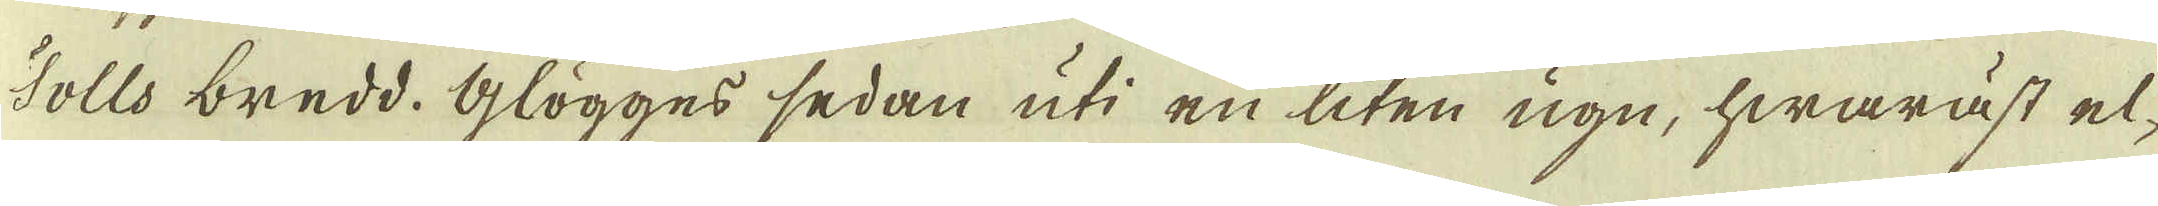Tolls bredd. Glögges sedan uti en liten ugn, hwaräst el-
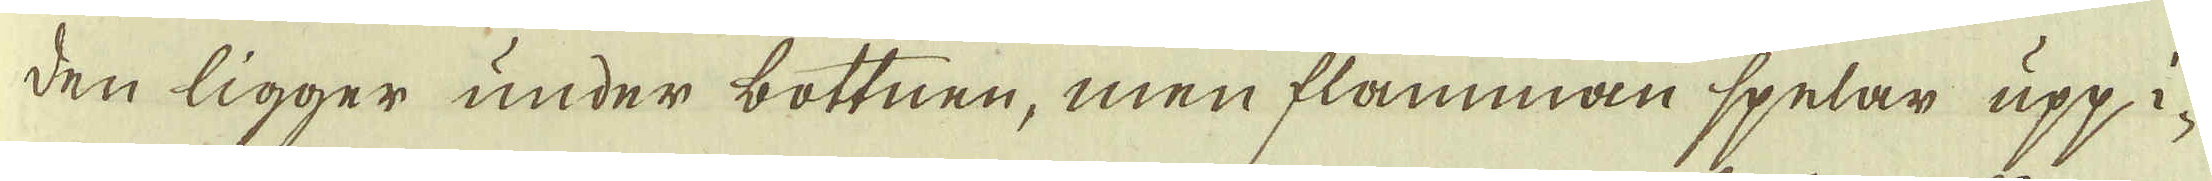den ligger under bottnen, men flamman spelar upp i-
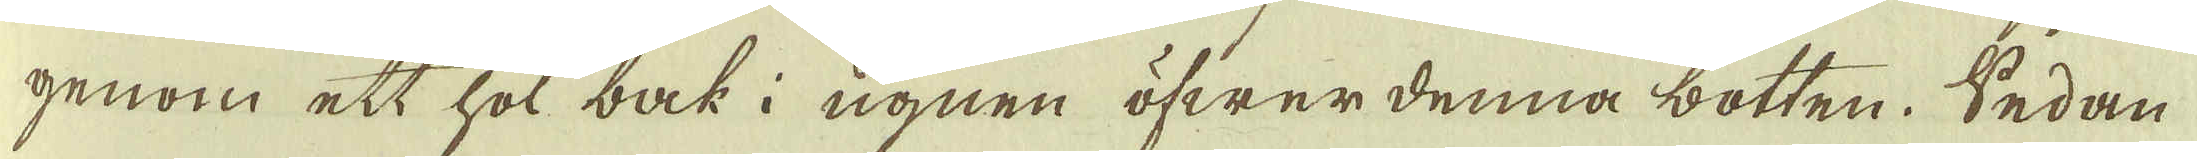genom ett hol bak i ugnen öfwer denna botten. Sedan
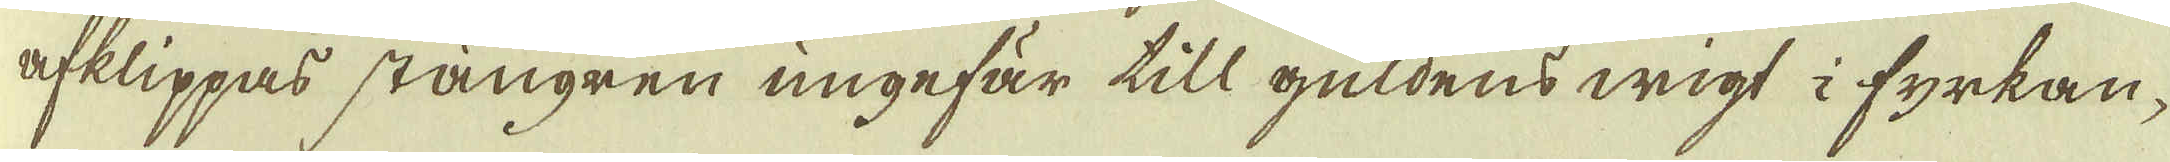afklippas stängren ungefär till guldens wigt i fyrkan-
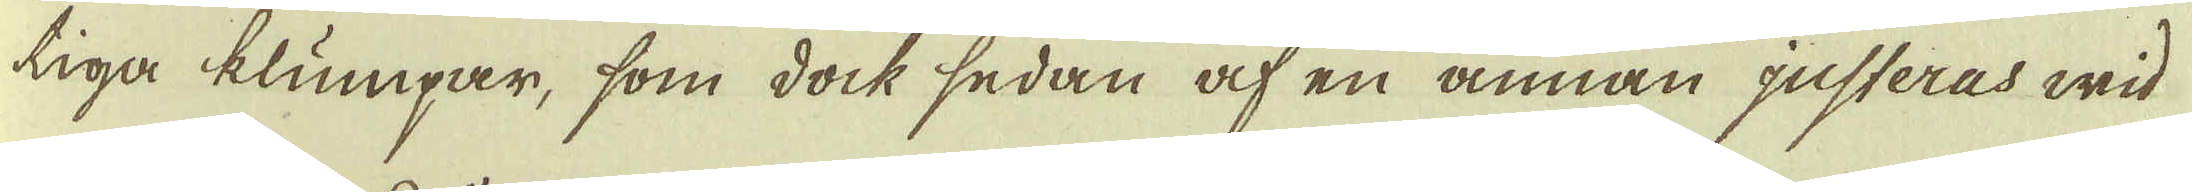tiga klumpar, som dock sedan af en annan justeras wid
